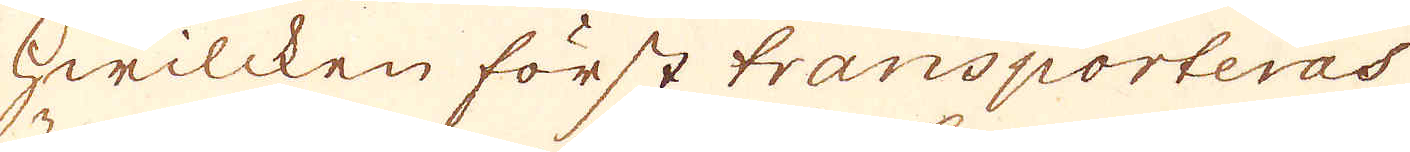hwilcken först transporteras
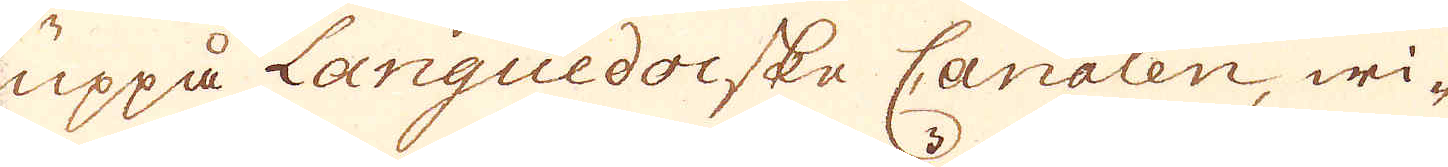uppå Languedocske Canalen, wi-
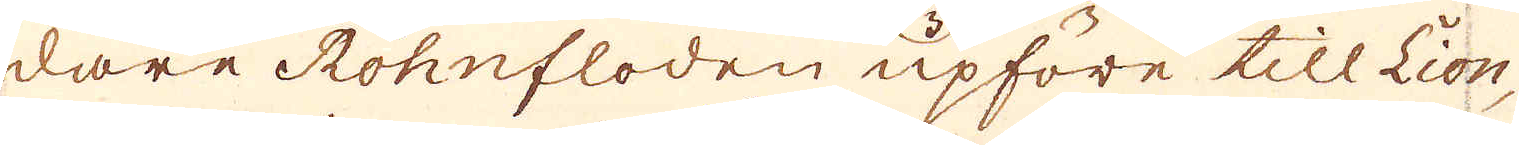dare Rohnfloden upföre till Lion
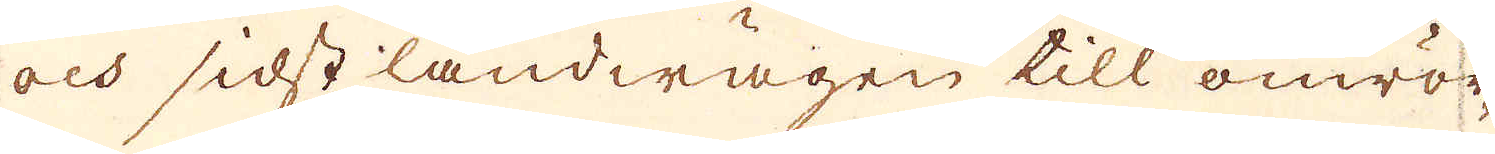och sidst landwägen till omrör-
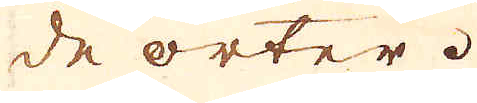de orter.
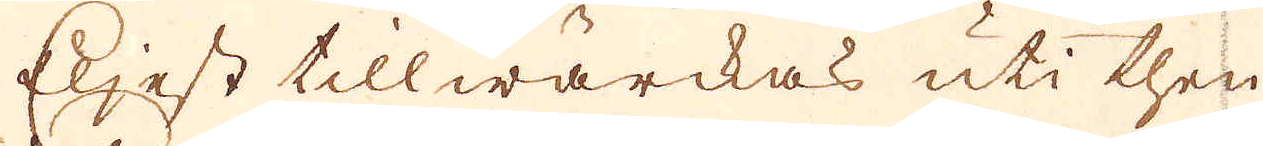Eljest tillwärckas uti then
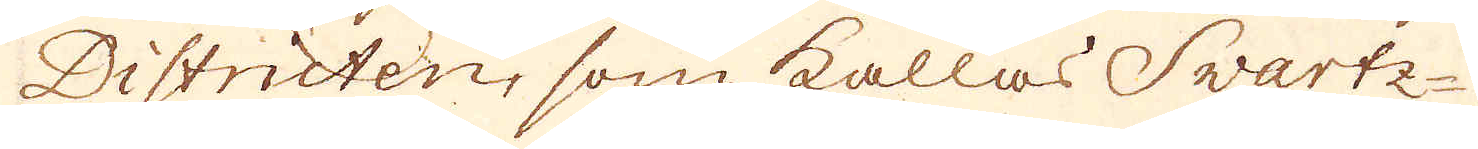Districten, som kallas Swartz-
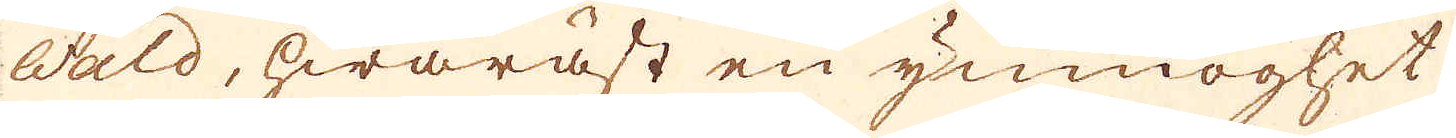wald, hwaräst en ymnoghet
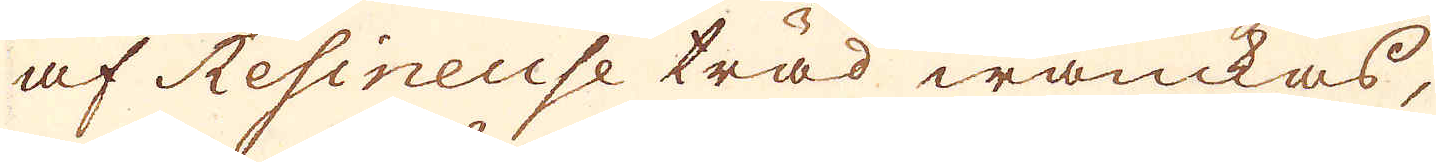af Resineuse träd wanckas,
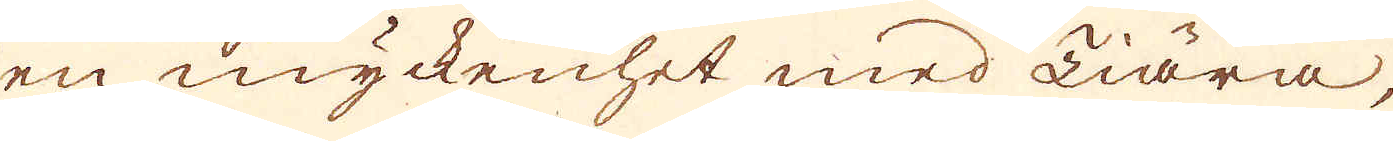en myckenhet med Tiära,
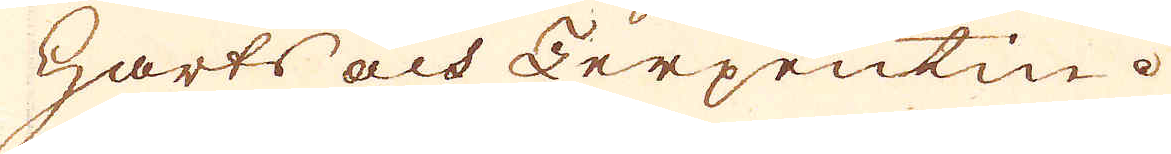Harts och Terpentin.
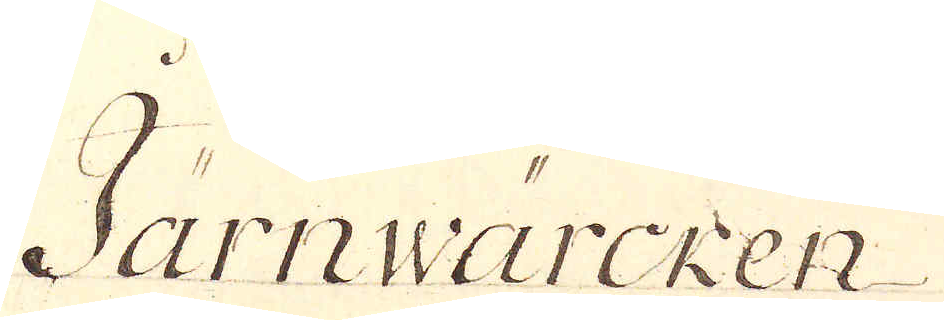Järnwärcken
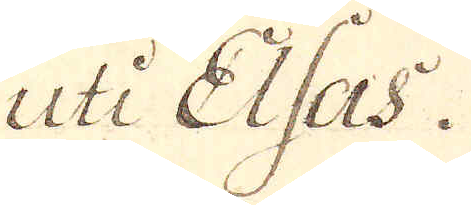uti Elsas.
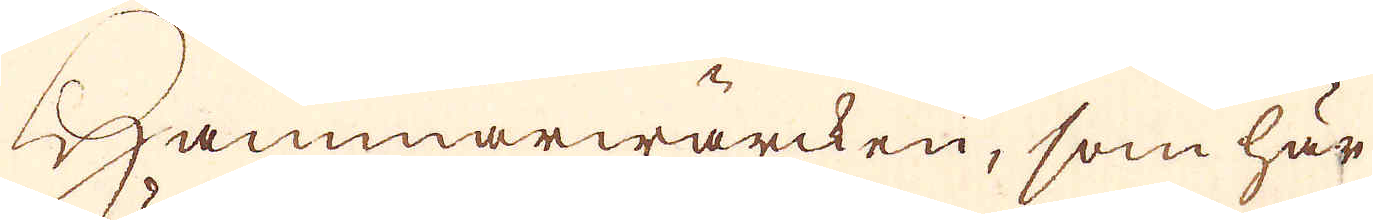Hammarwärcken, som här
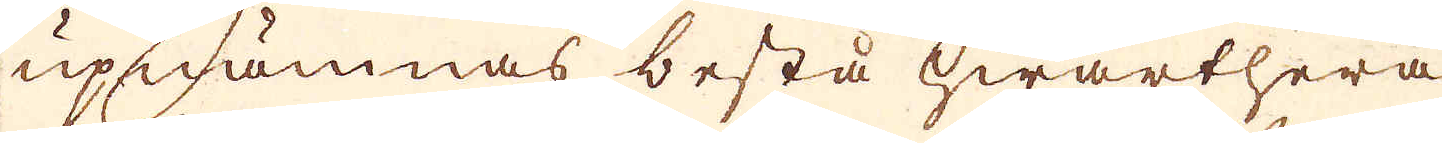upnämnas bestå hwarthera
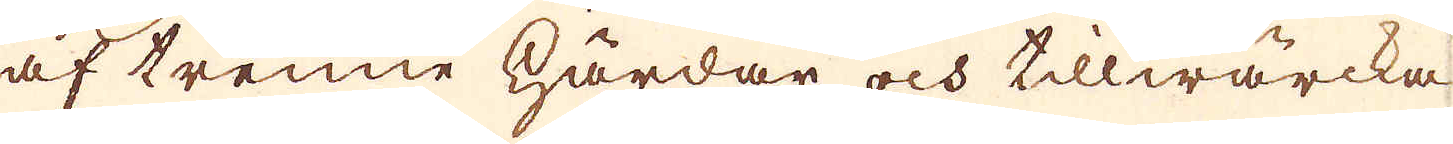af trenne härdar och tillwärcka
